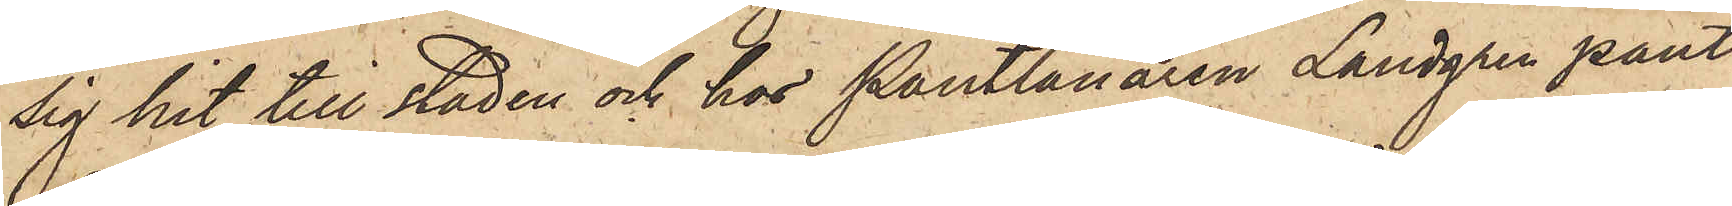sig hit till staden och hos Pantlånaren Landgren pant¬
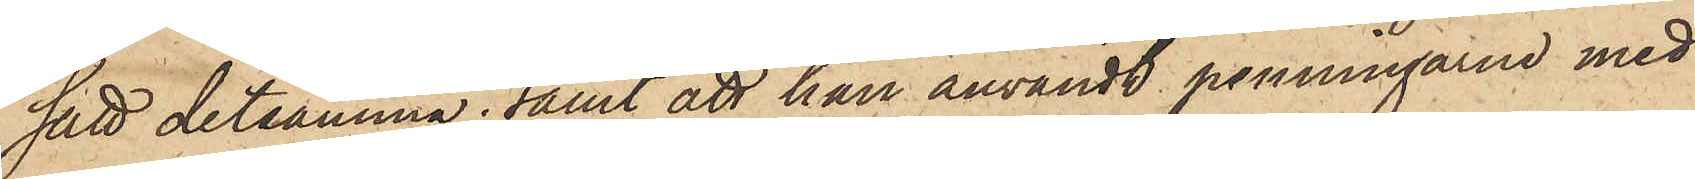satt detsamma; samt att han användt penningarne med
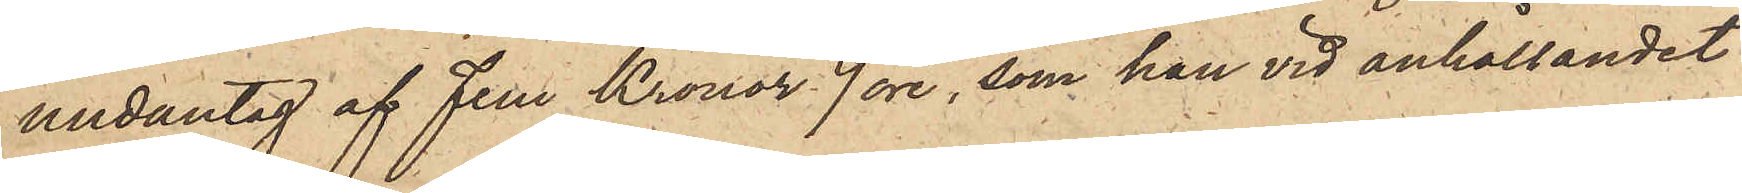undantag af Fem Kronor 9 öre, som han vid anhållandet
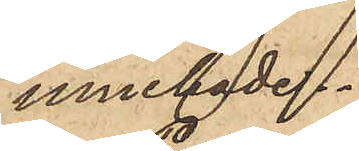innehade.
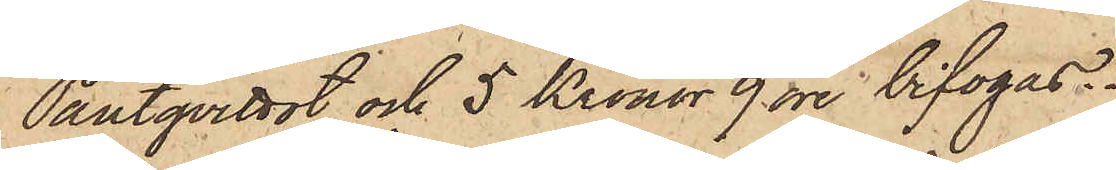Pantqvittot och 5 Kronor 9 öre bifogas.
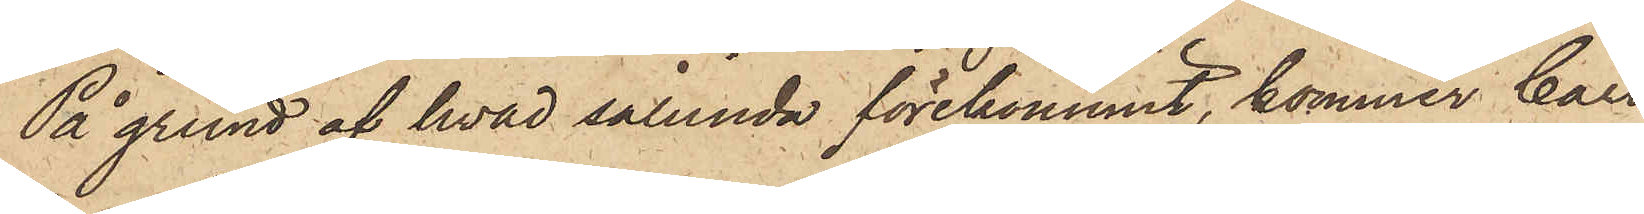På grund af hvad sålunda förekommit, kommer Carl
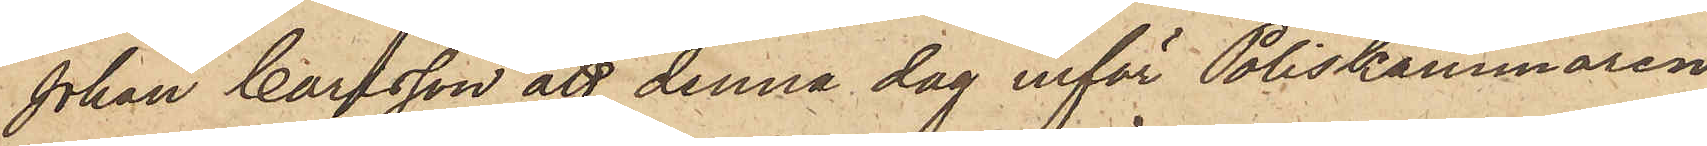Johan Carlsson att denna dag inför Poliskammaren
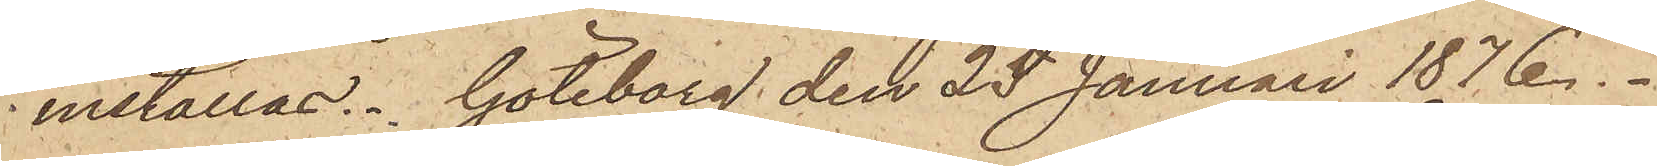inställas. Göteborg den 25 Januari 1876.
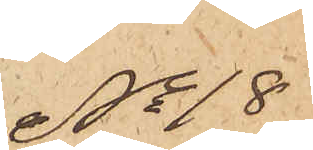No 18
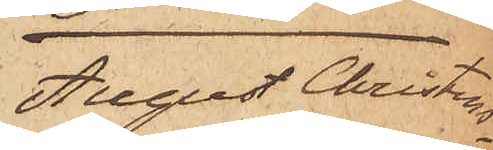August Christens¬
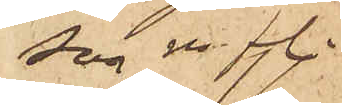son m fl.
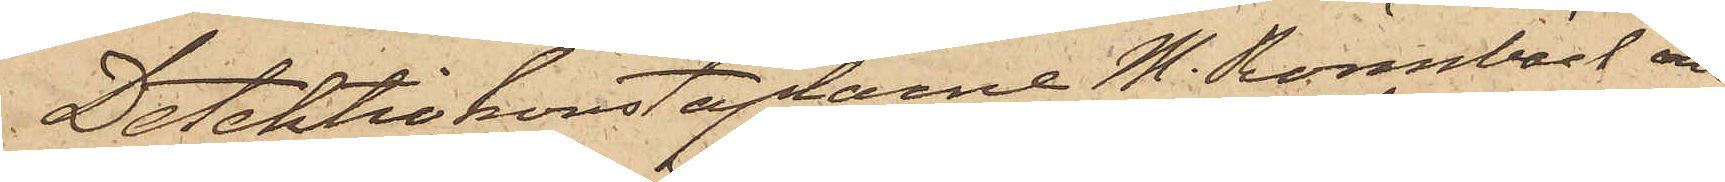Detektivkonstaplarne M. Rönnbäck och
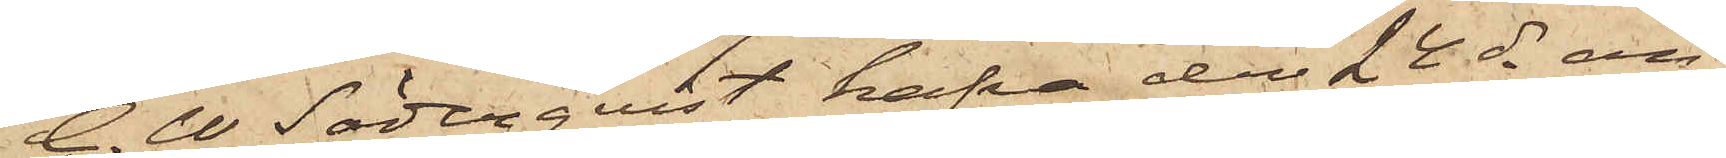C. W Söderqvist hafva den 24 ds an¬
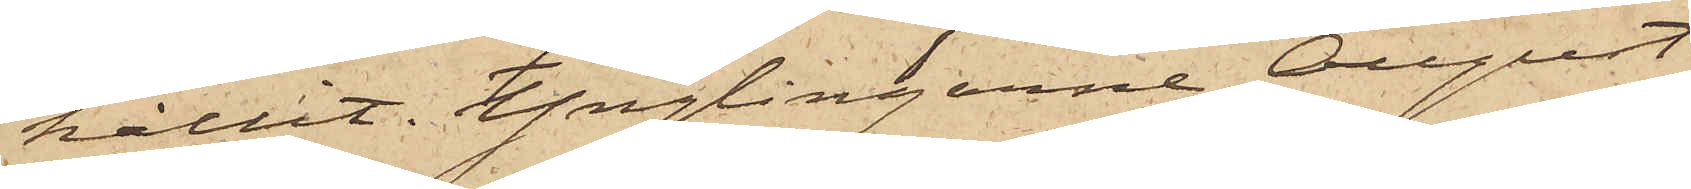hållit Ynglingarne August
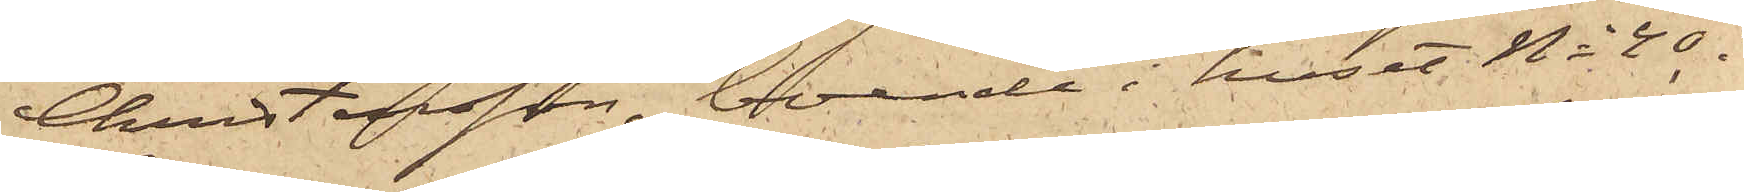Christensson, boende i huset No 40 i
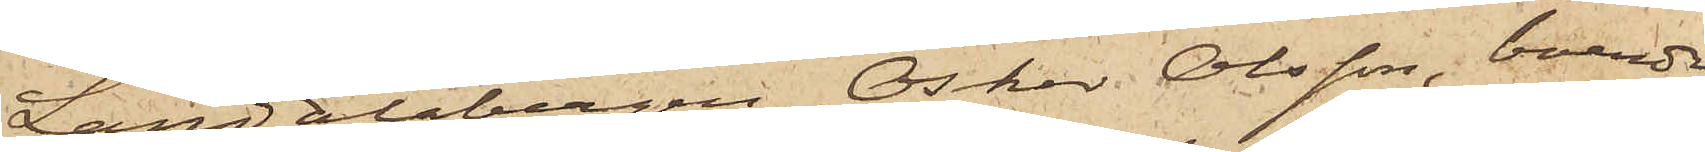Landalabergen, Oskar Olsson, boende
